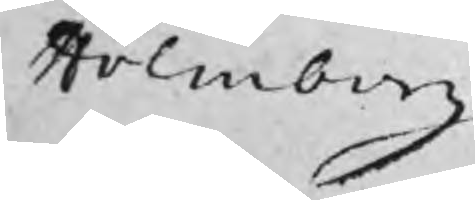Holmberg
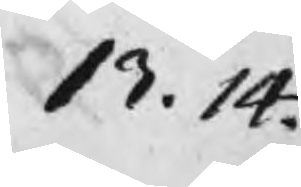13. 14.
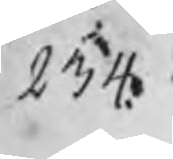234.
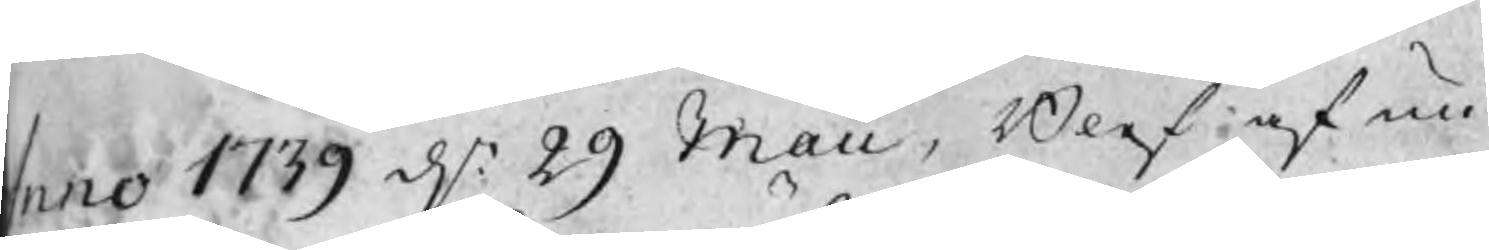Anno 1739 d.n 29 Maii, Blef af nu
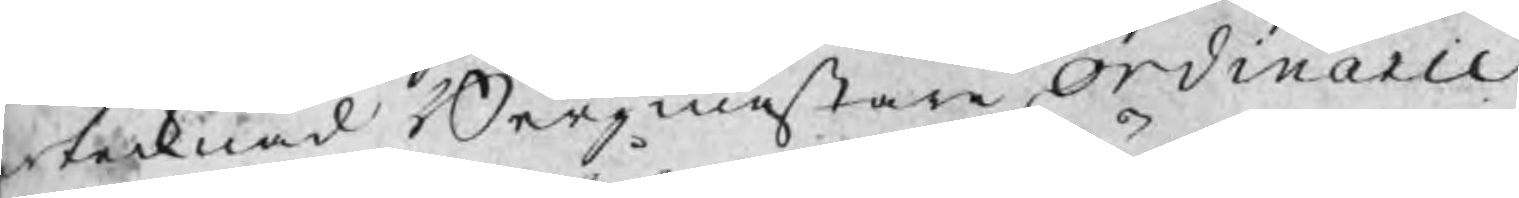ertecknad Bergmästare ordinarie
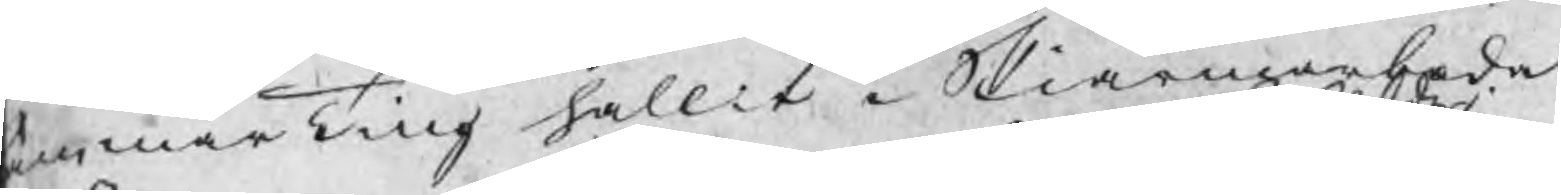ammarTing hållit i Skiärmarboda
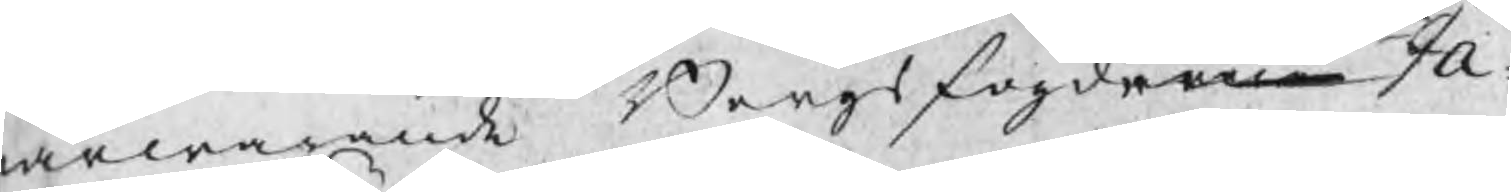ärwarande Bergsfogderne Ja¬
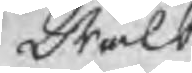Wälbede
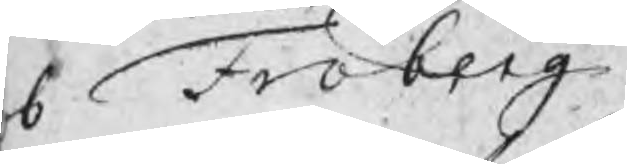b Fröberg
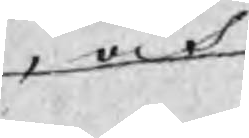, och
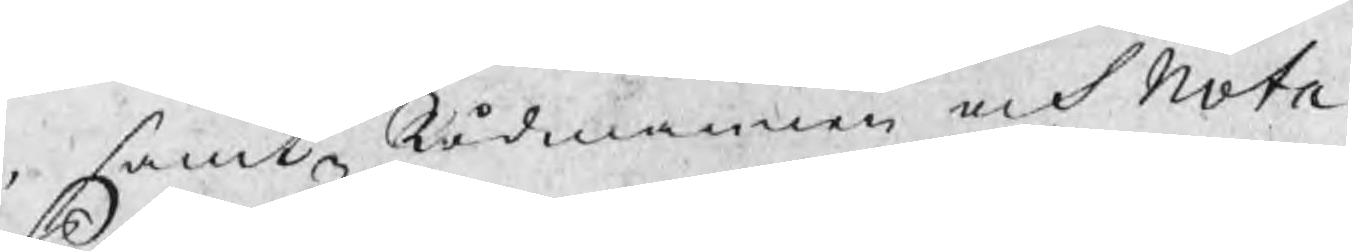samt Rådmannen och Nota¬
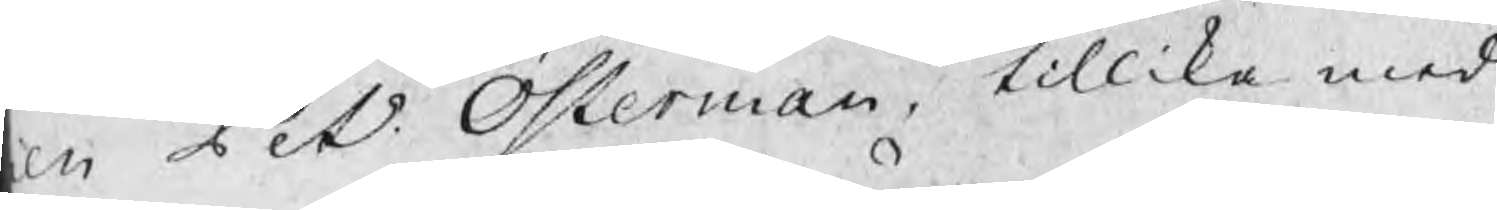en Pet. Österman, tillika med
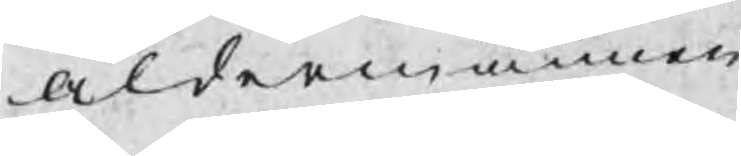åldermännen
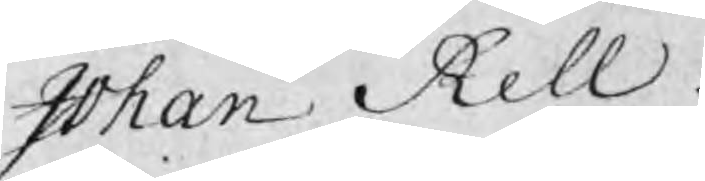Johan Rell
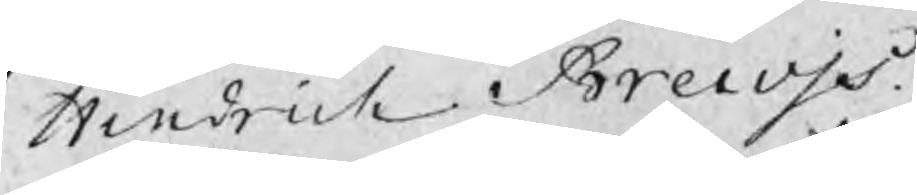Hindrich Brewjs
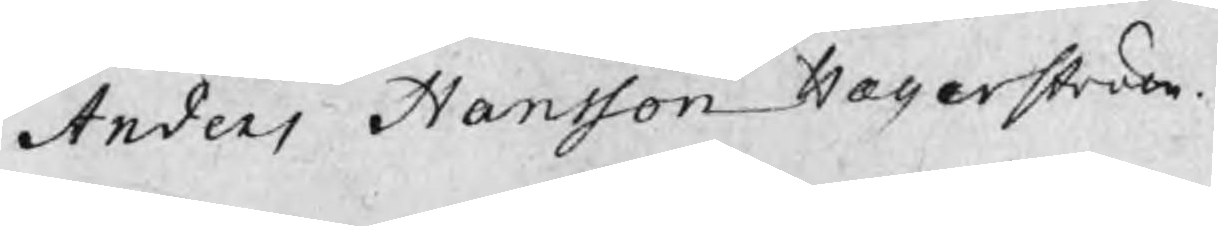Anders Hansson Hægerström.
